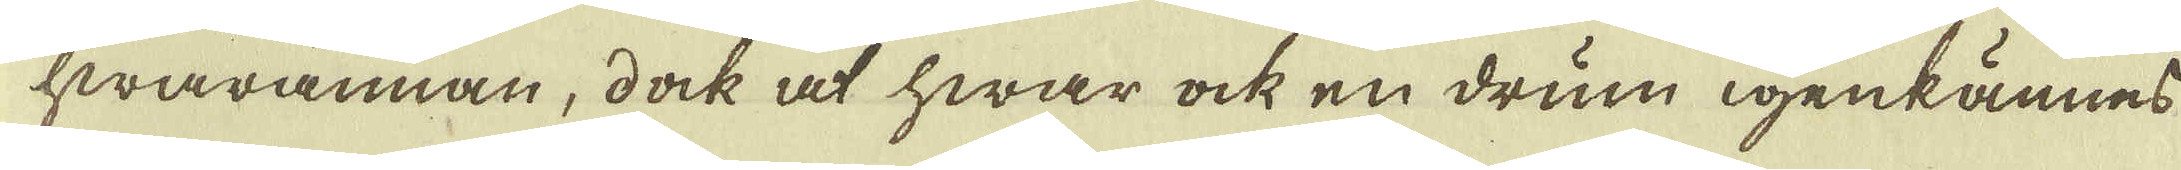hwarannan, dock at hwar ock en drum igenkännes
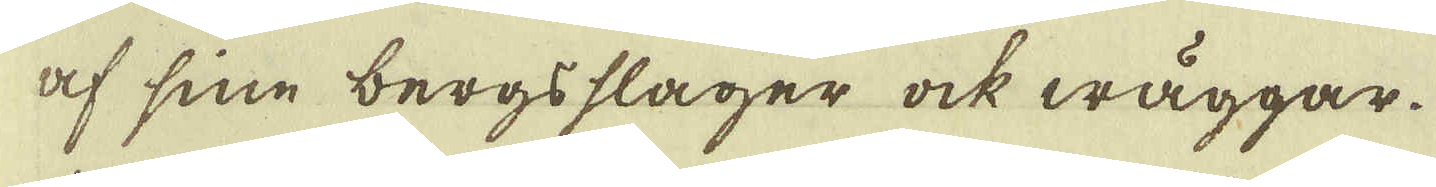af sine bergsslager ock wäggar.
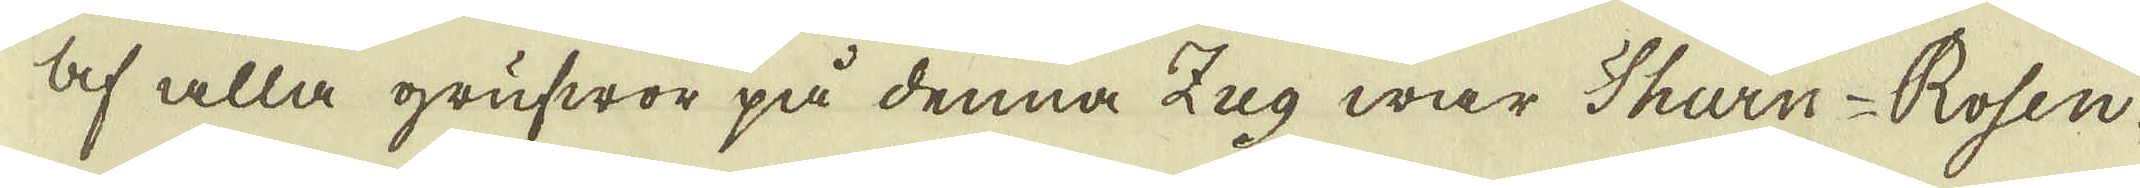Af alla grufwor på denna Zug war Thurn-Rosen-
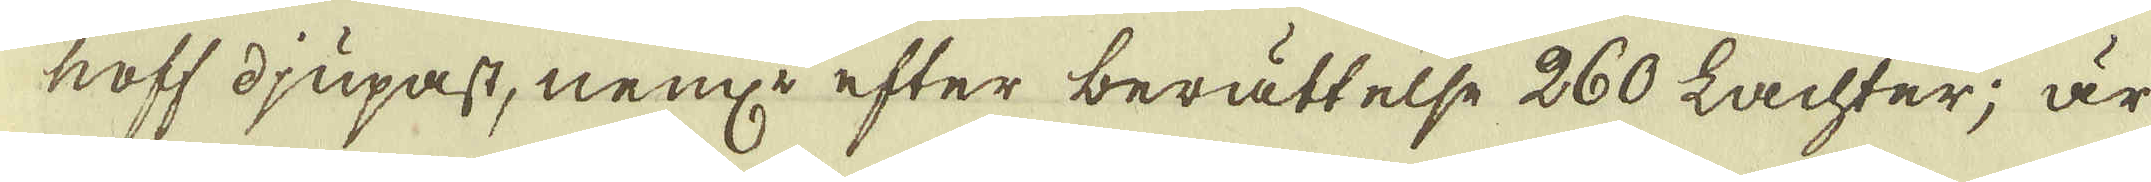hoff djupast, neml: efter berättelse 260 Lachter; är
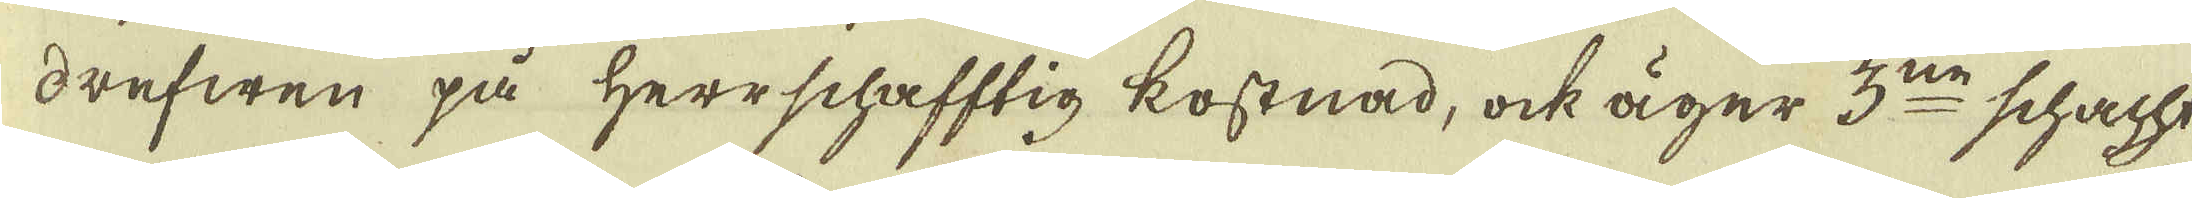drefwen på Herrschafftig kostnad, ock äger 3:ne schacht
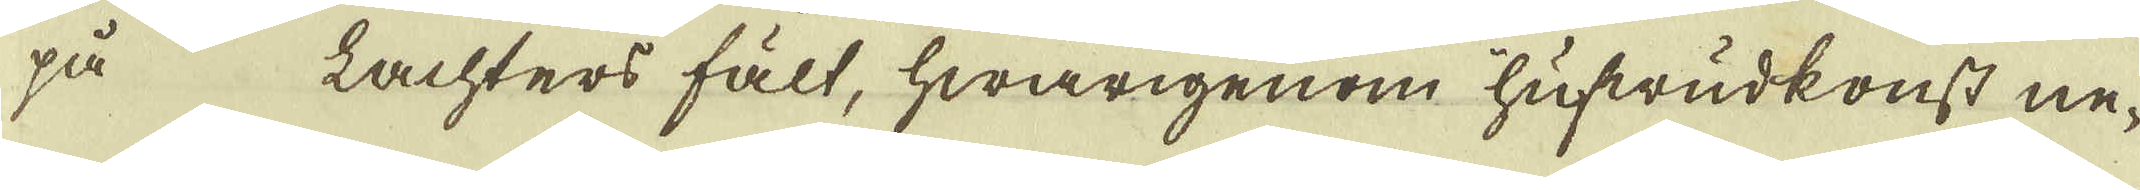på Lachters fält, hwarigenom hufwudkonst ne-
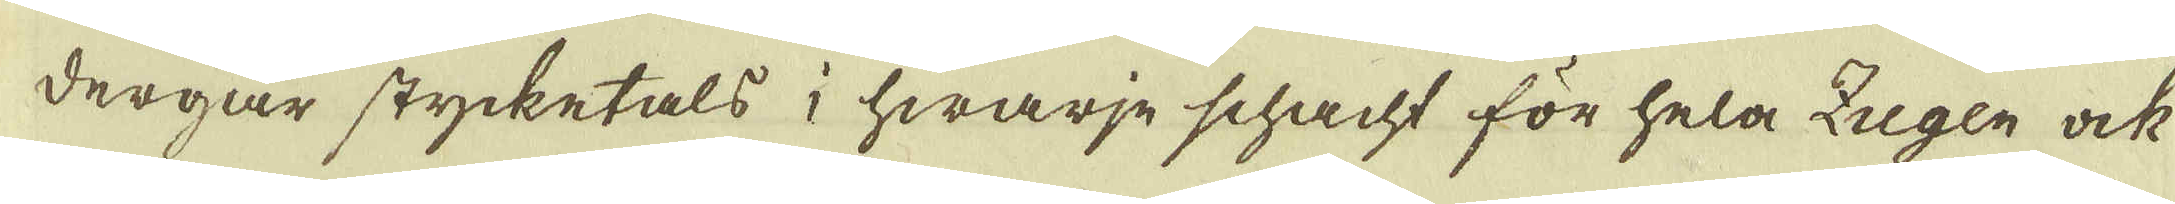dergår stycketals i hwarje schacht för hela Zugen ock
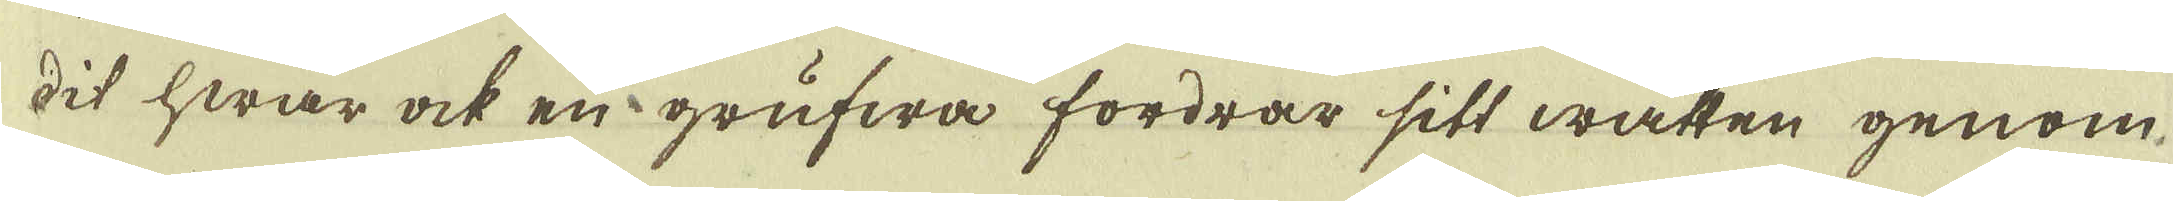dit hwar ock en grufwa fordrar sitt watten genom
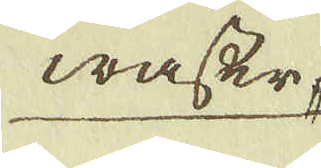wasser
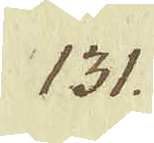131.
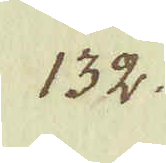132.
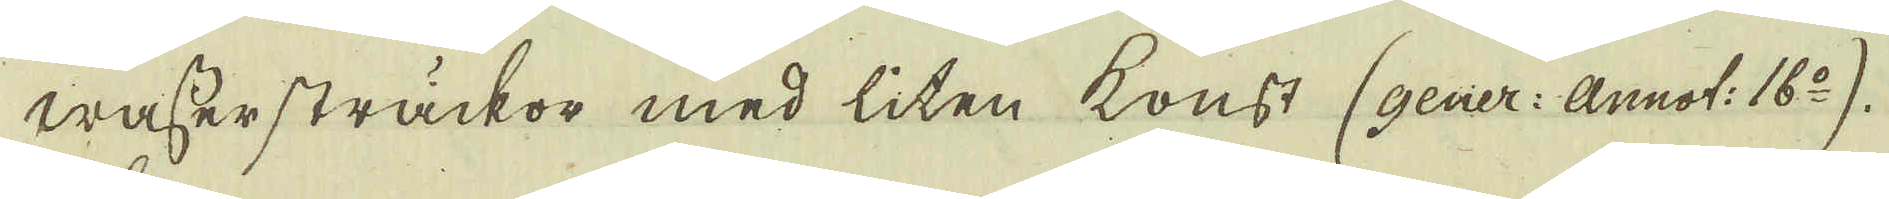wassersträckor med liten konst (gener: annot: 16:o).
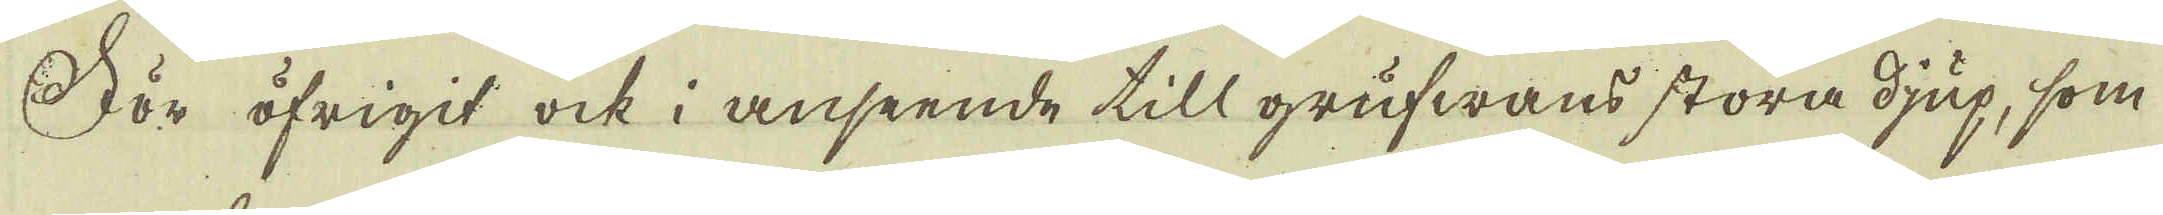För öfrigit ock i anseende till grufwans stora djup, som
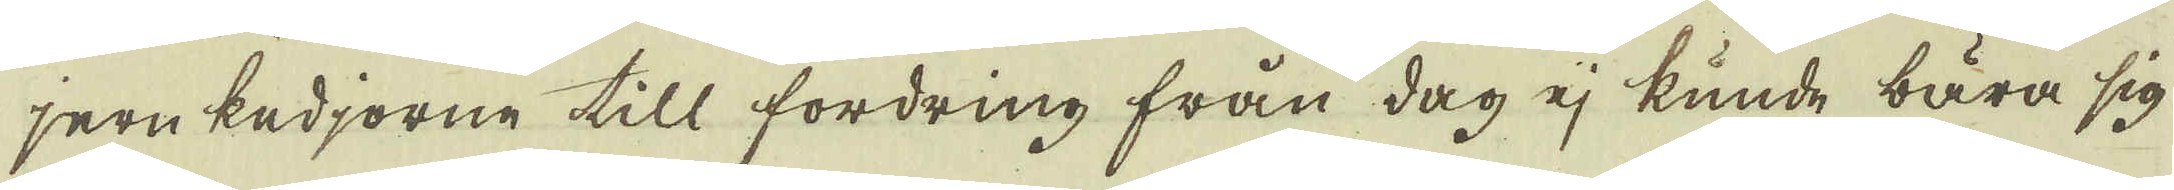jern kedjorne till fordring från dag ej kunde bära sig
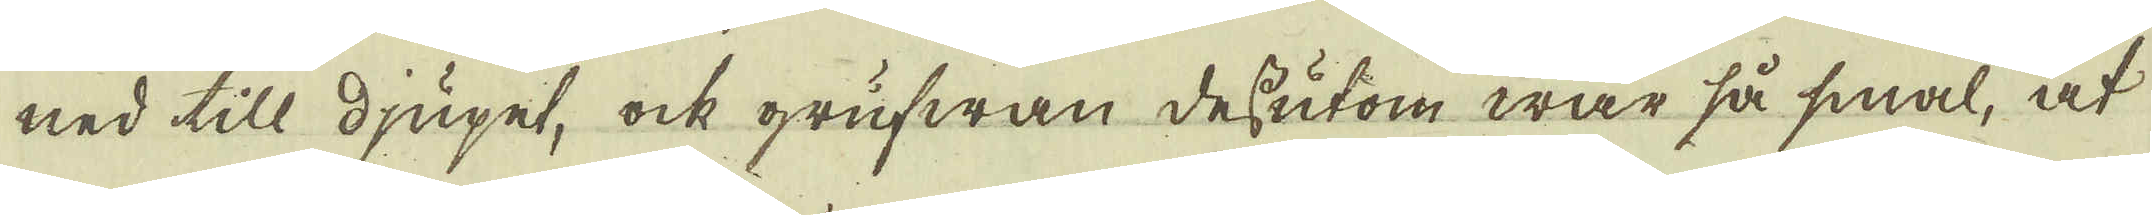ned till djupet, ock grufwan dessutom war så smal, at
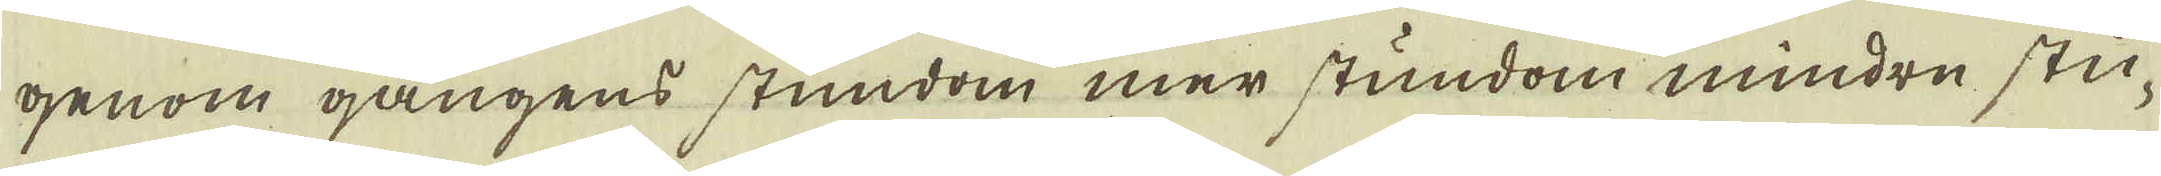genom gångens stundom mer stundom mindre stu-
